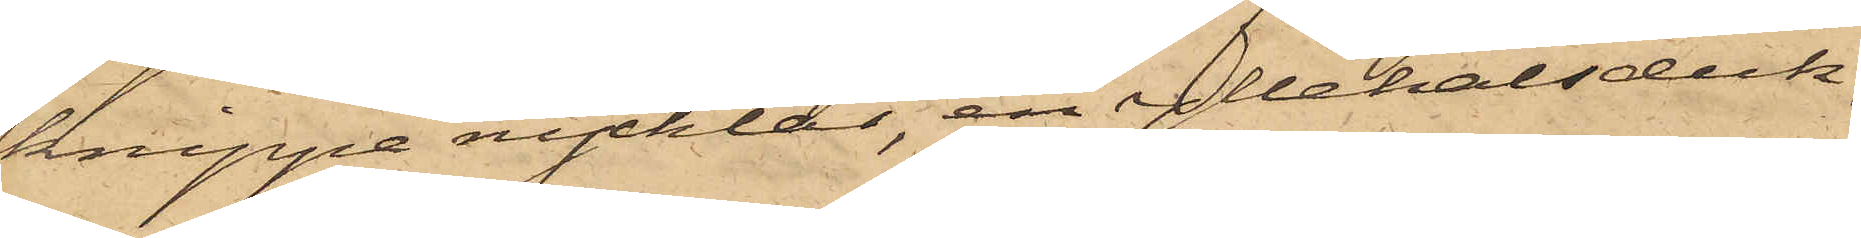knippe nycklar, en yllehalsduk,
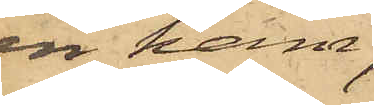en kam,
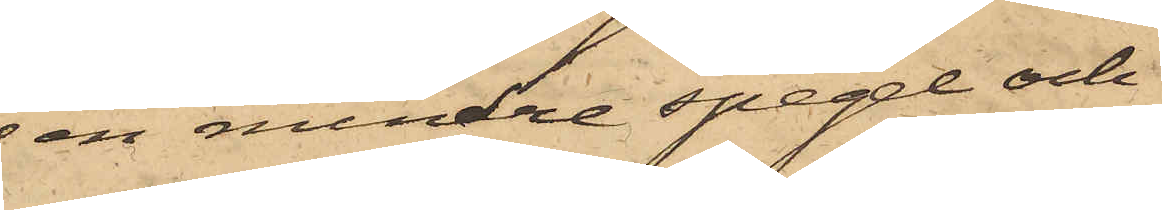 en mindre spegel och
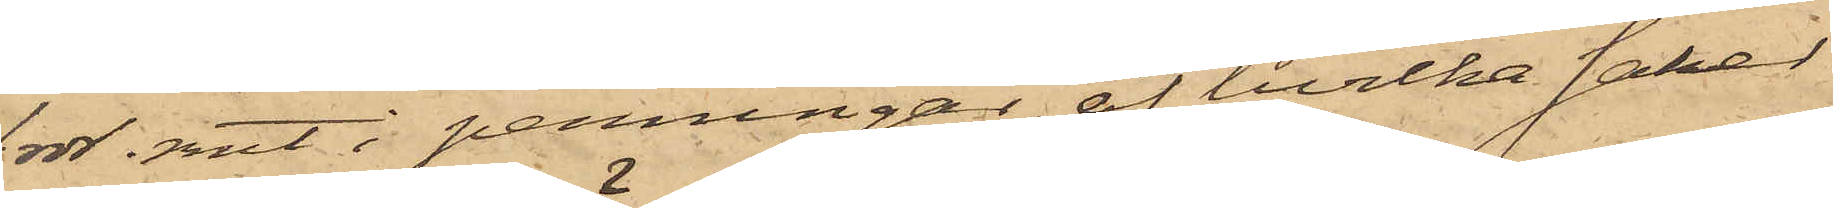1 rdr. rmt i penningar, af hvilka saker
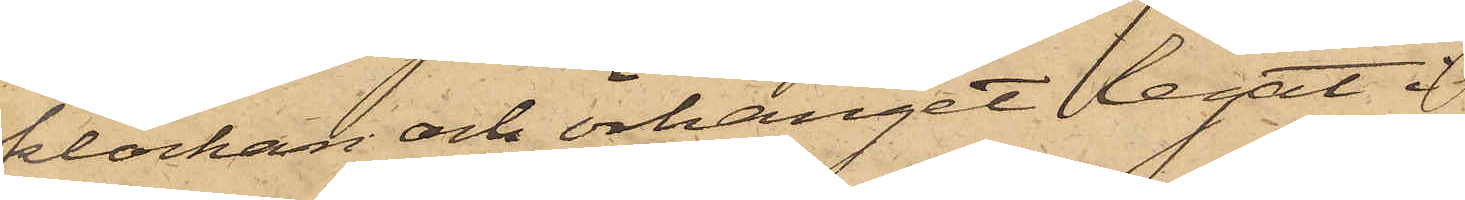klockan och örhänget legat i
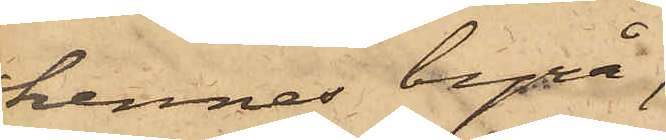hennes byrå,
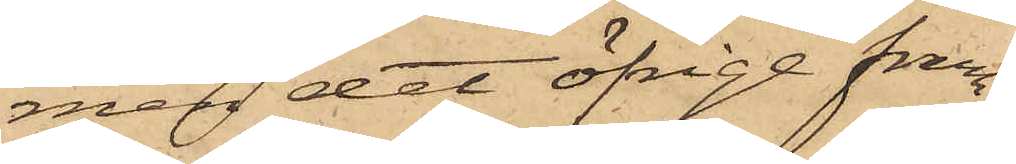men det öfrige fram¬
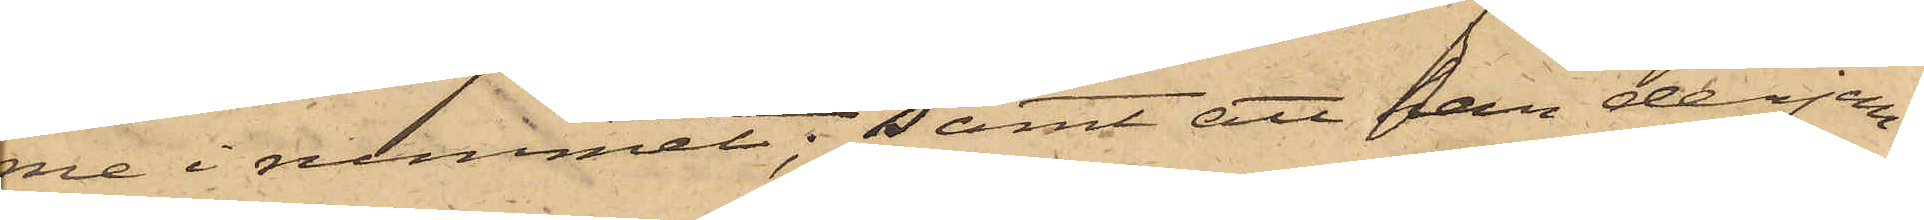me i rummet; samt att han derjem¬
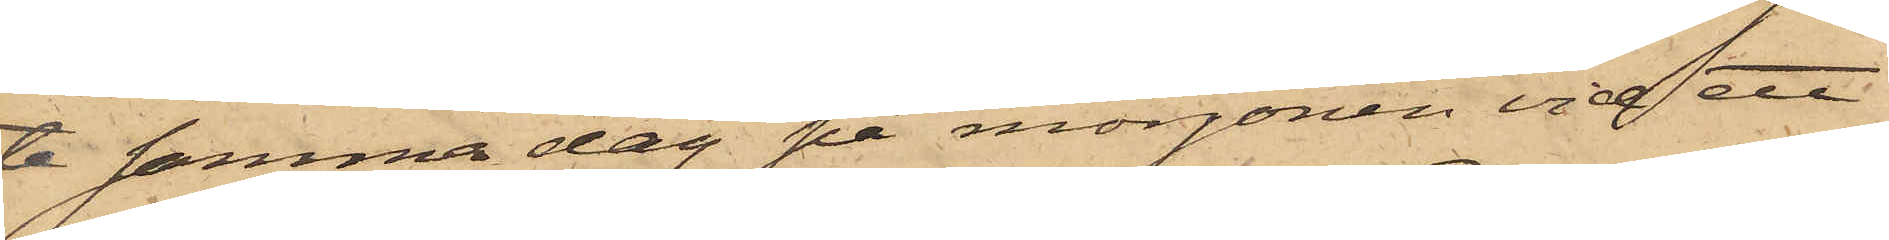te samma dag på morgonen vid ett
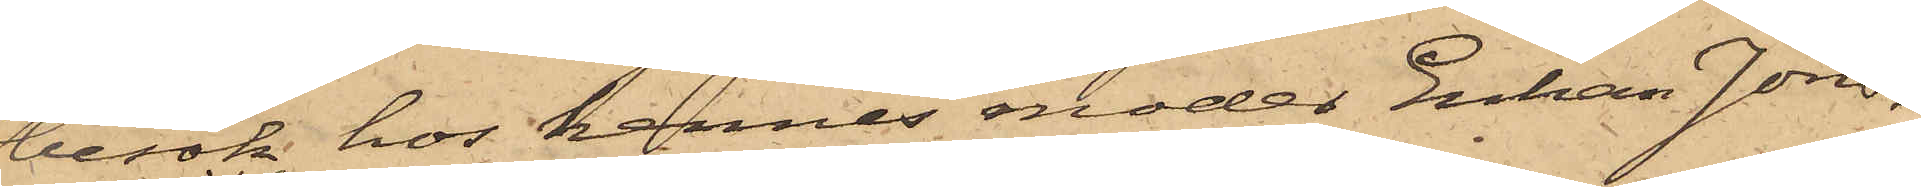besök hos hennes moder Enkan Jons¬
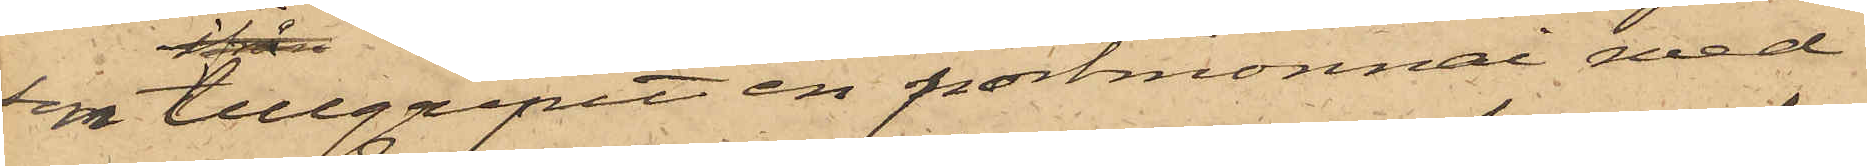sig tillgripit en portmonnai med
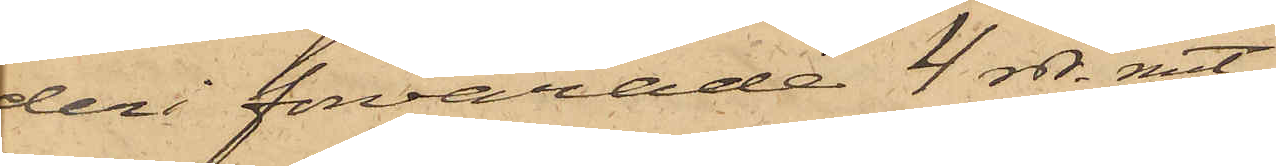deri förvarade 4 rdr. rmt.
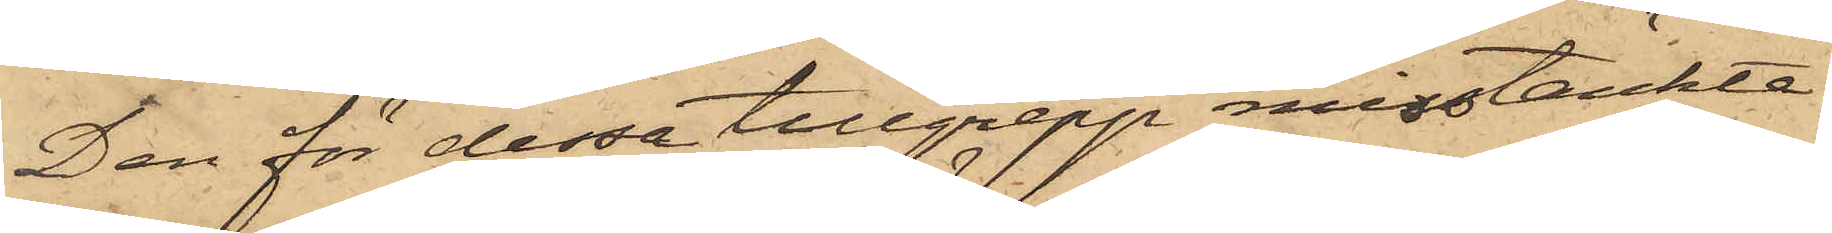Den för dessa tillgrepp misstänkte
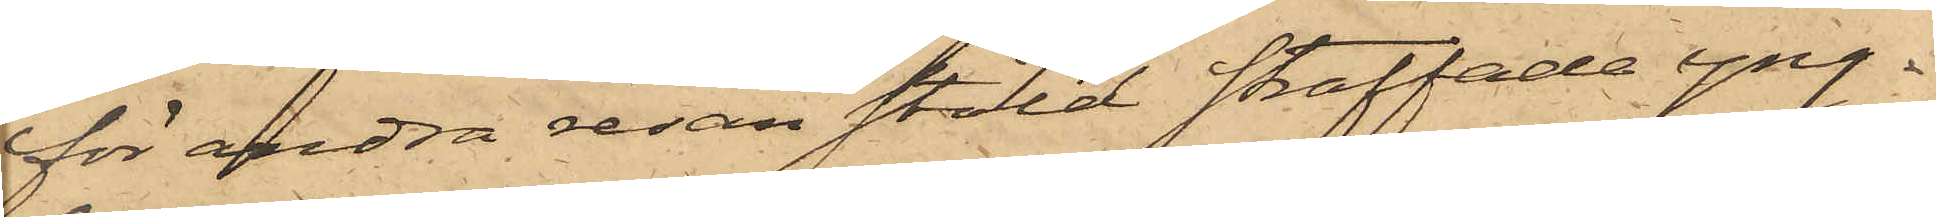för andra resan stöld straffade yng¬
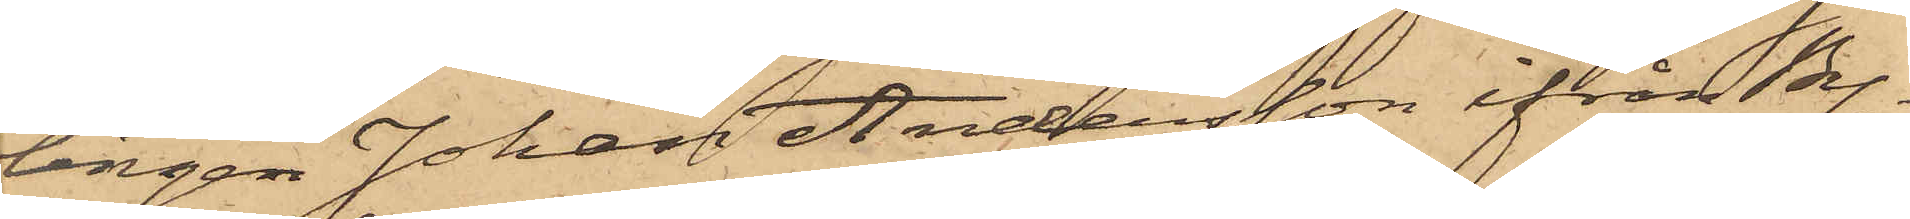lingen Johan Andersson ifrån By¬
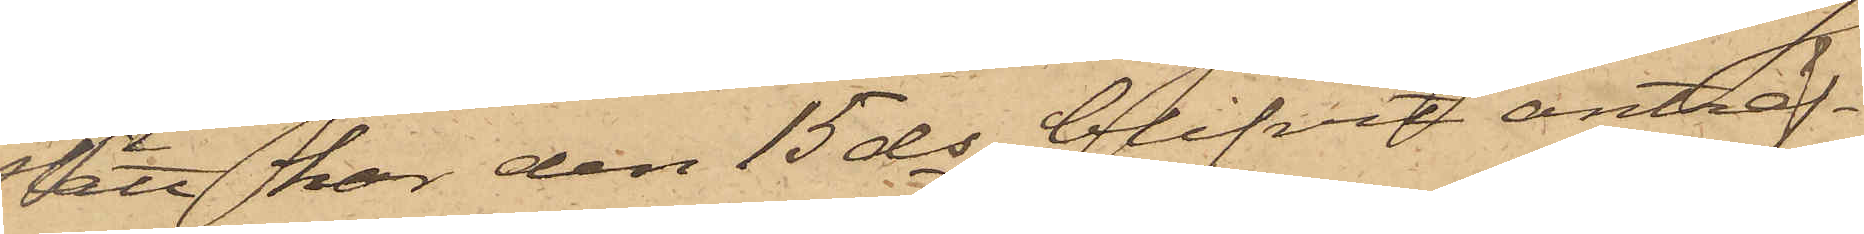slätt har den 15 ds blifvit anträf¬
